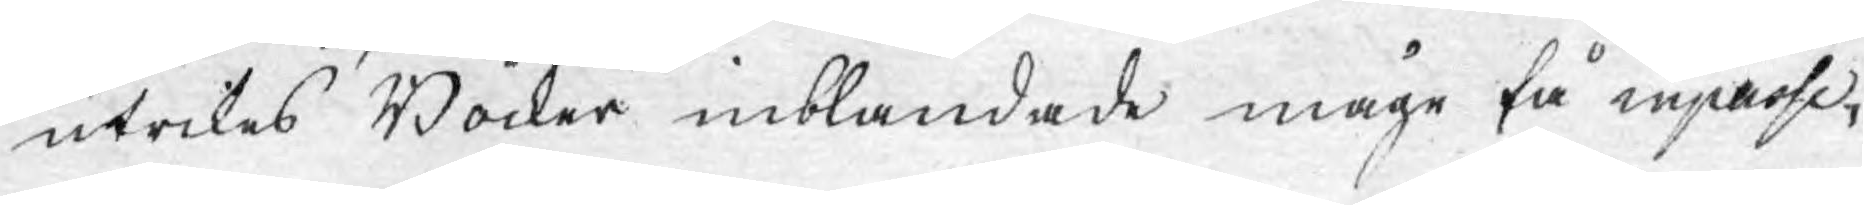utrikes Böcker inblandade måge få inpasse¬
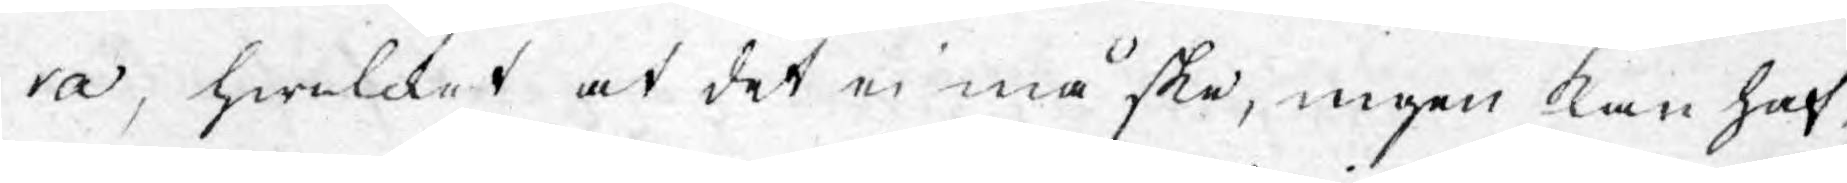ra, hwilcket at det ei må ske, ingen kan haf¬
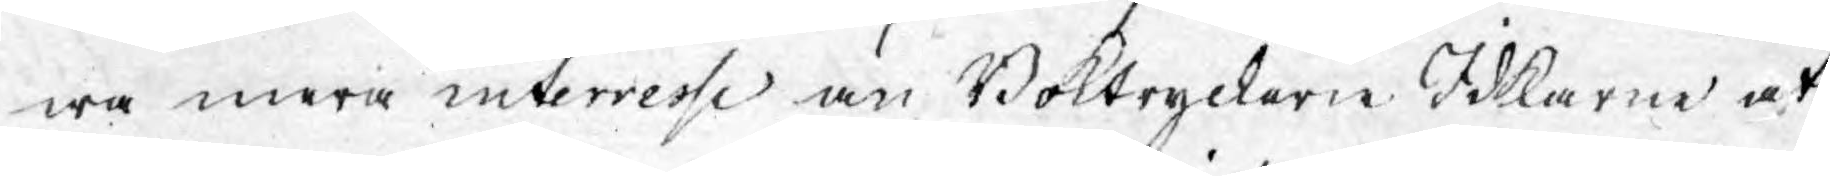wa mera interesse än Boktryckerie Idkarne at
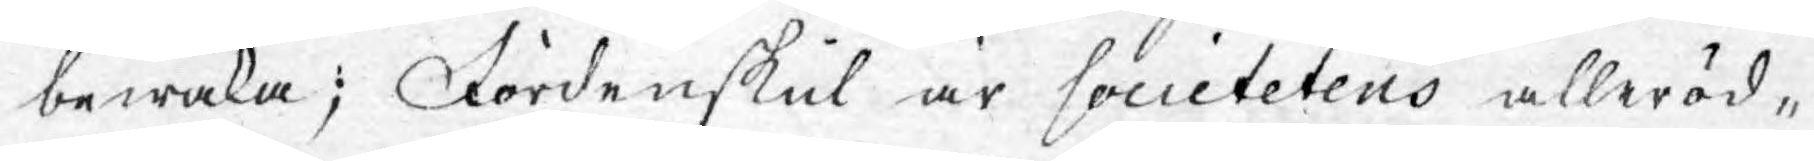bewaka; Fördenskul är societetens alleröd¬
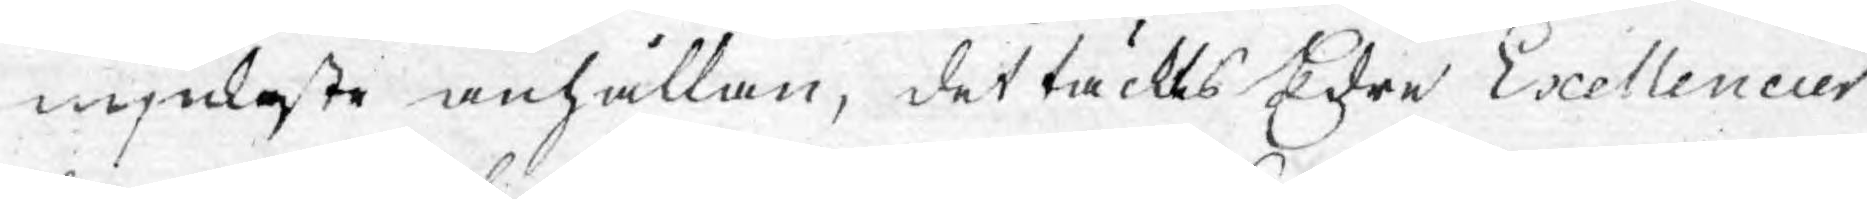mjukaste anhållan, det täckes Edre Exellencier
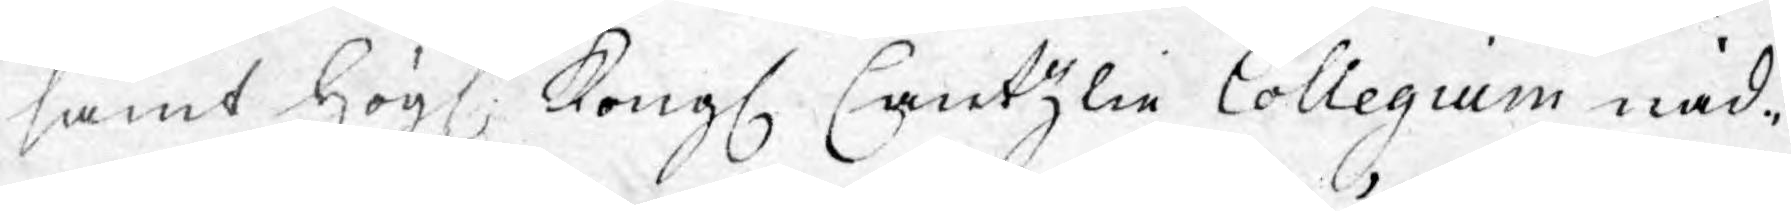samt Högl. Kongl. Cantzlie Collegium nåd¬
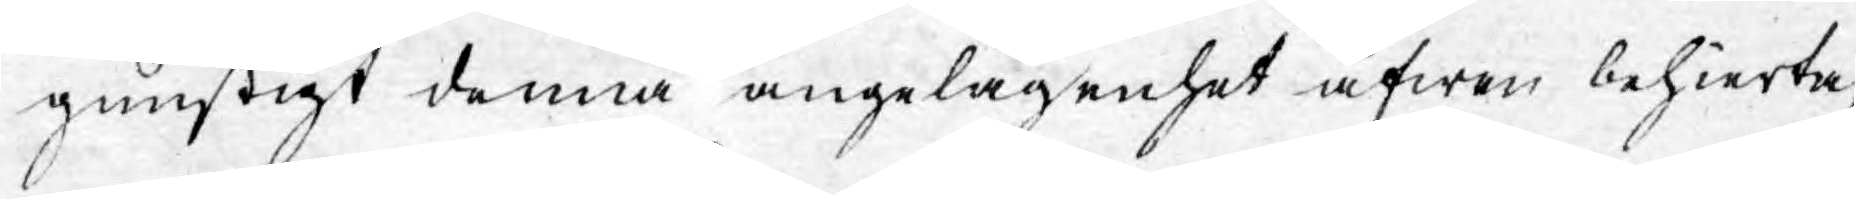gunstigt denna angelägenhet äfwen behierta,
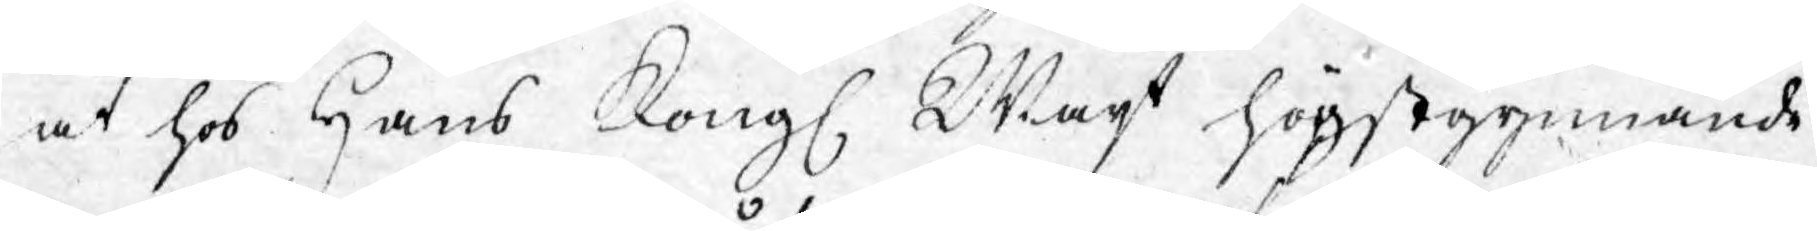at hos Hans Kongl. Majt högstgynnande
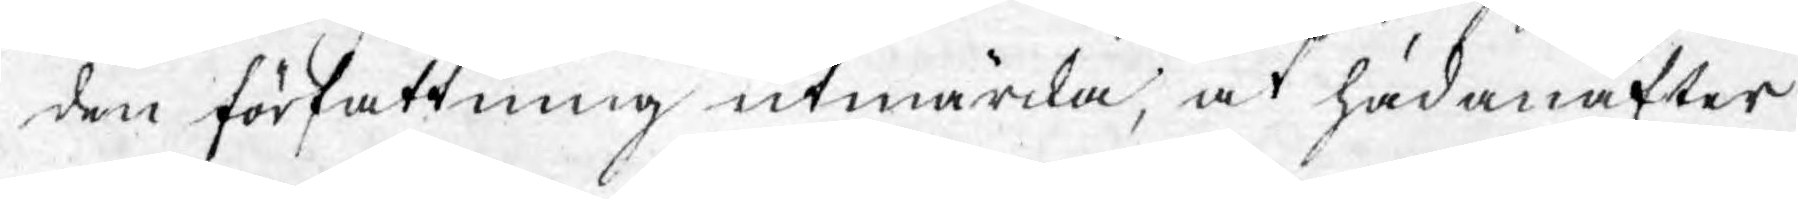den författning utmärcka, at hädanafter
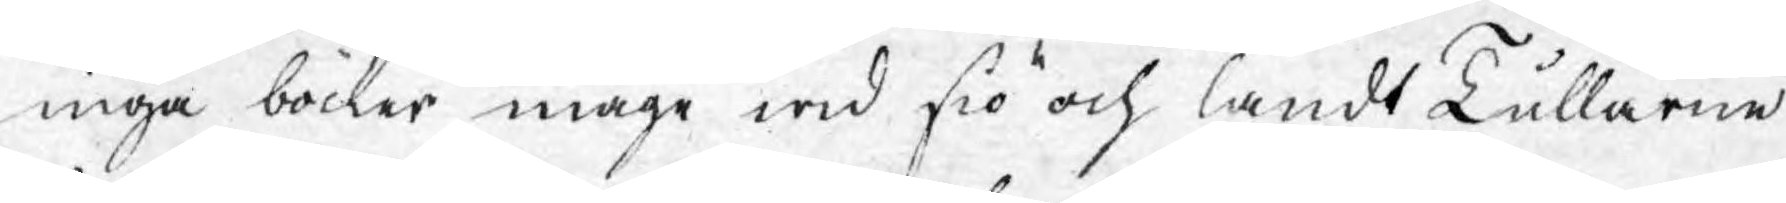inga böcker måge wid siö och landt Tullarne
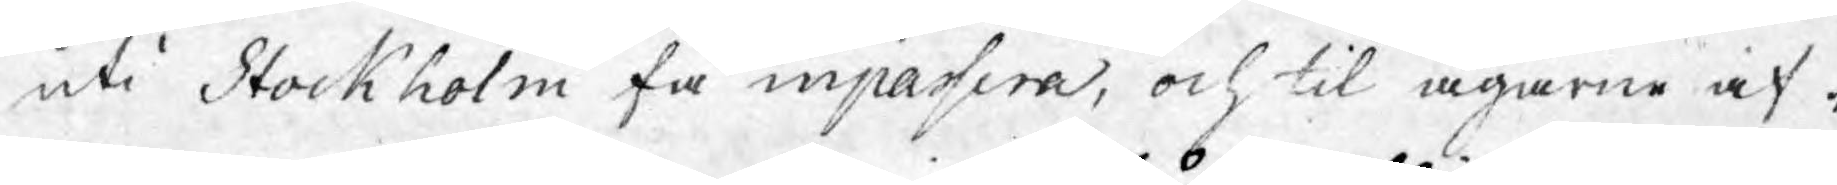uti Stockholm få inpassera, och til ägarne af¬
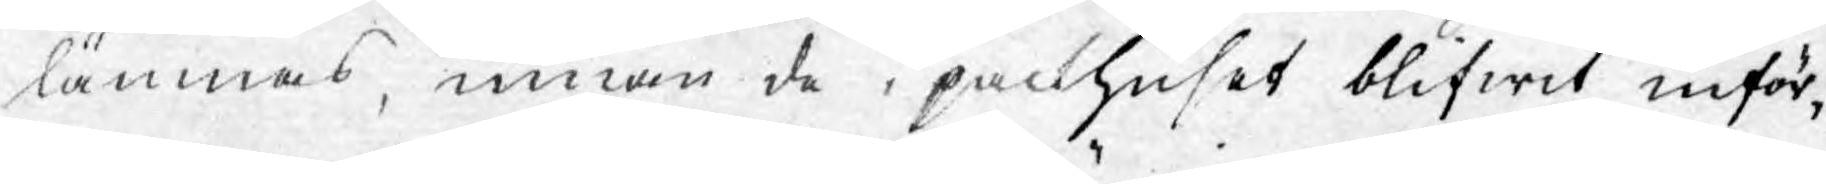lämnas, innan de i packhuset blifwit inför¬
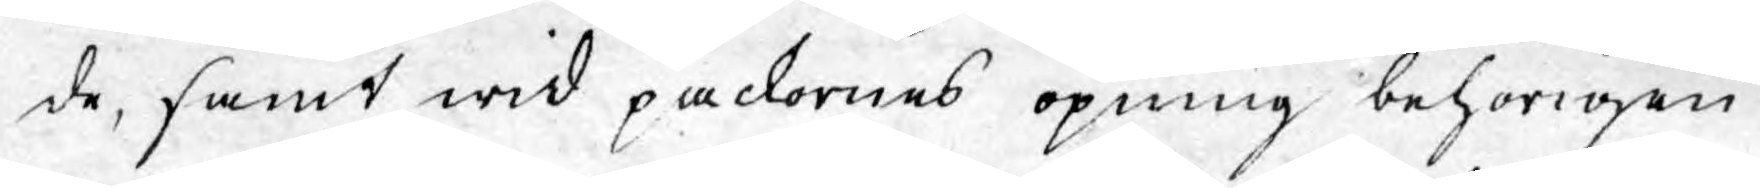de, samt wid packornes öpning behörigen
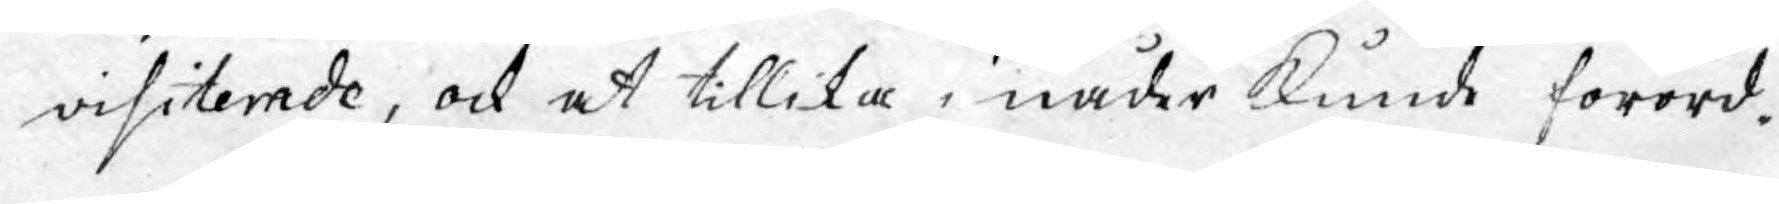visiterade, ock at tillika i nåder kunde förord¬
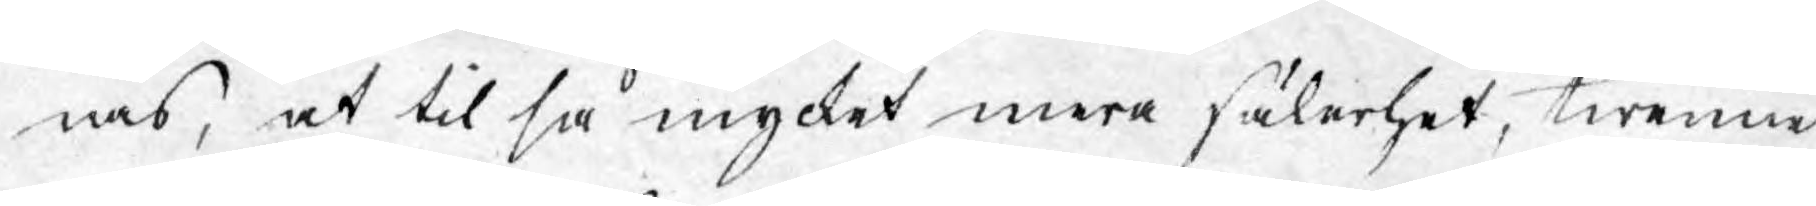nas, at til så mycket mera säkerhet, twenne
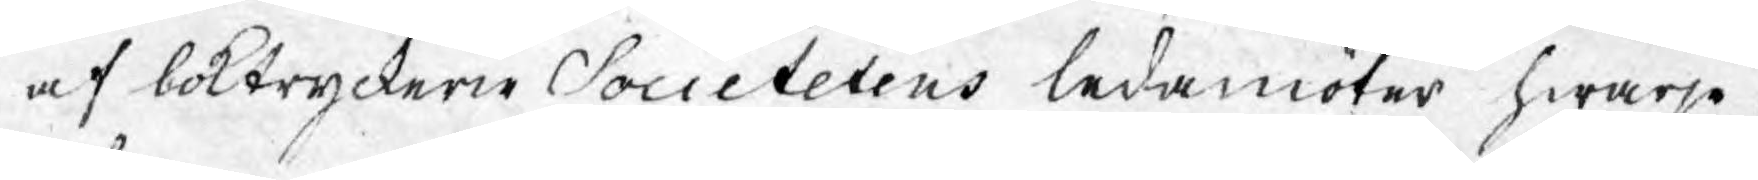af boktryckerie Societetens ledamöter hwarje
